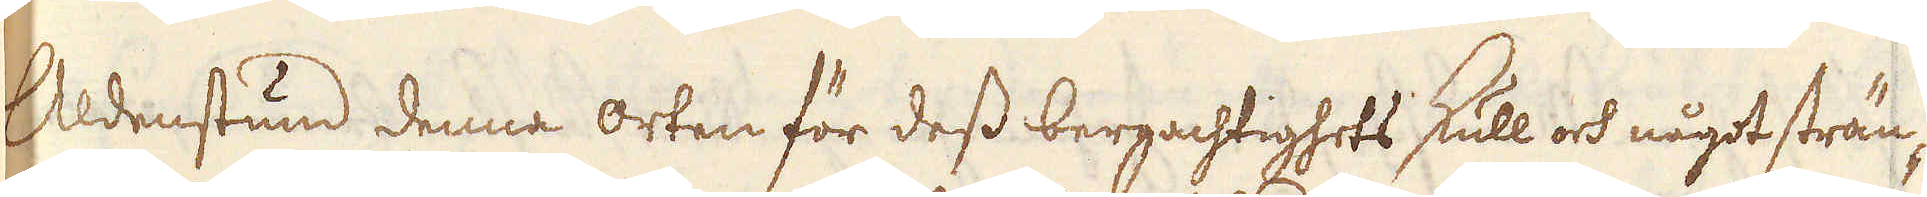Aldenstund denna orten för dess bergachtighets skull och något strän-
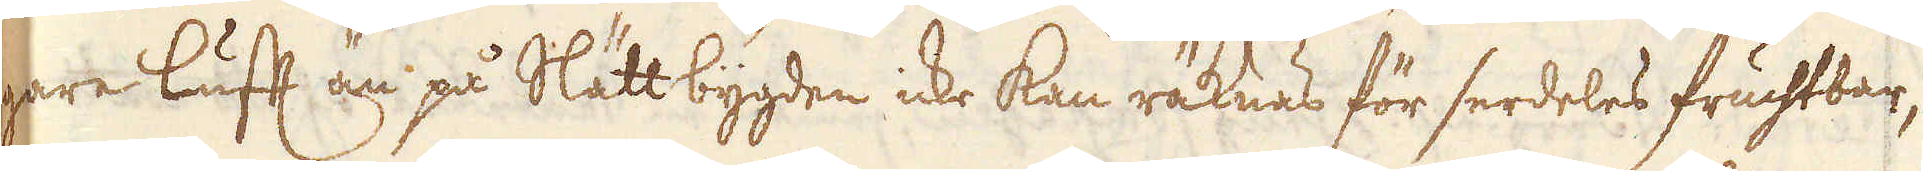gare lufft än på Slättbygden icke kan räknas för serdeles fruchtbar,
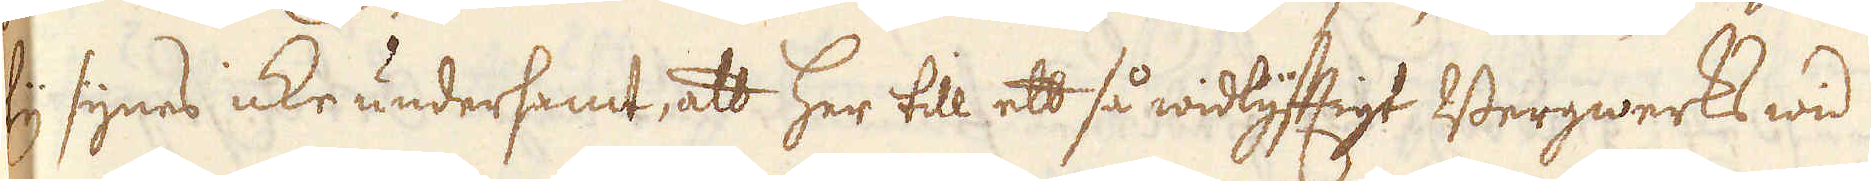ty synes icke undersamt, att her till ett så widlyfftigt Bergwerks wid
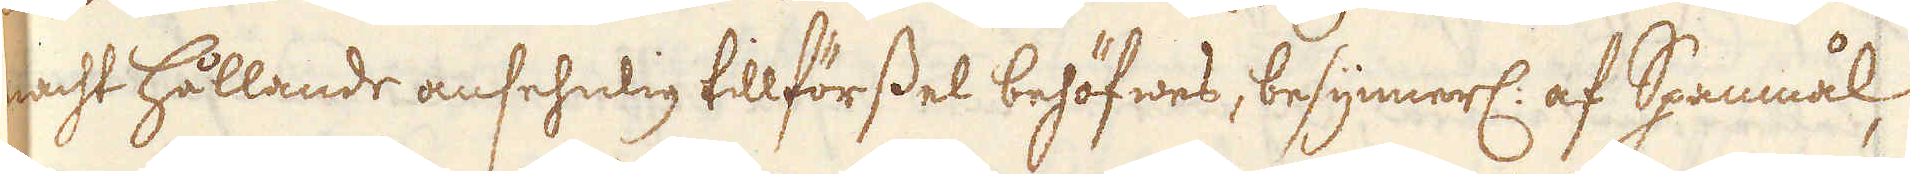macht hållande ansehnlig tillförssel behöfwes, besynnerl: af Spanmål,
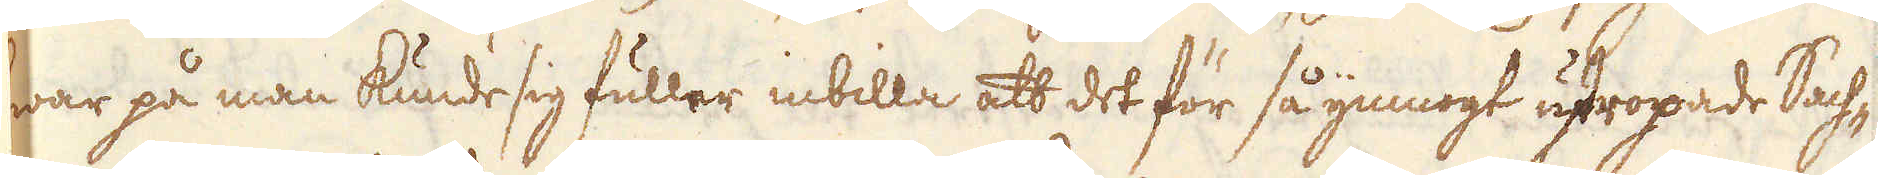hwar på man kunde sig fuller inbilla att det för så ymnogt utropade Sach-
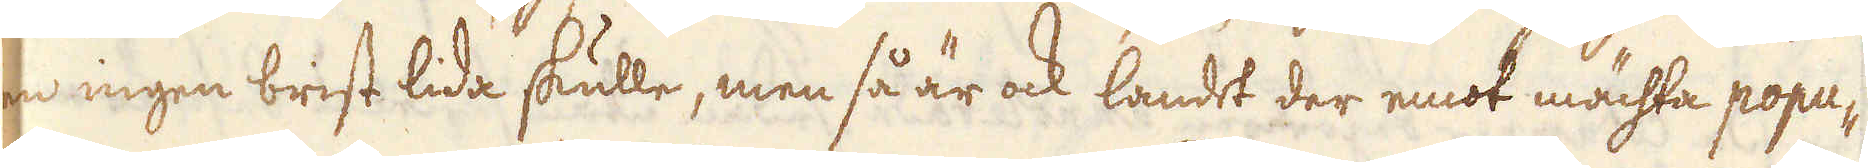sen ingen brist lida skulle, men så är ock landet der emot mächta popu-
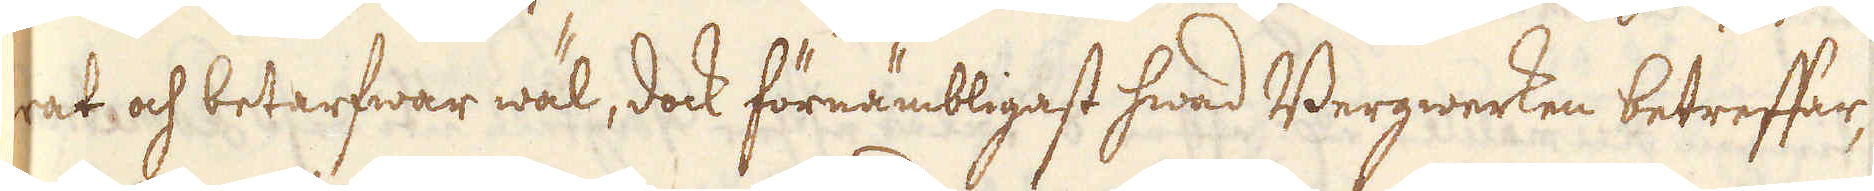lerat och betarfwar wäl, dock förnämbligast hwad Bergwerken betreffar,
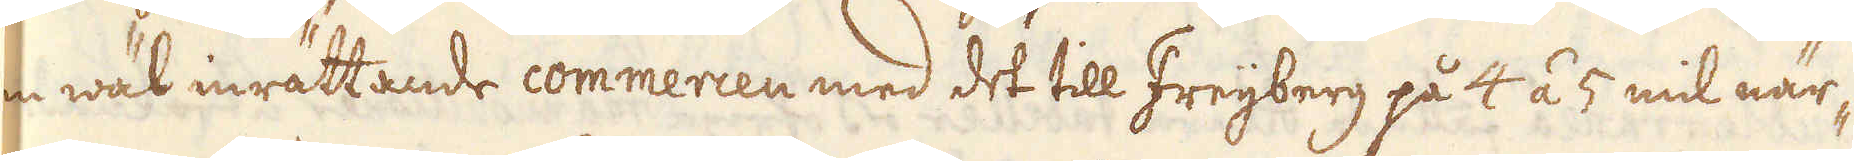den wäl inrättande commercen med det till Freijberg på 4 á 5 mil när-
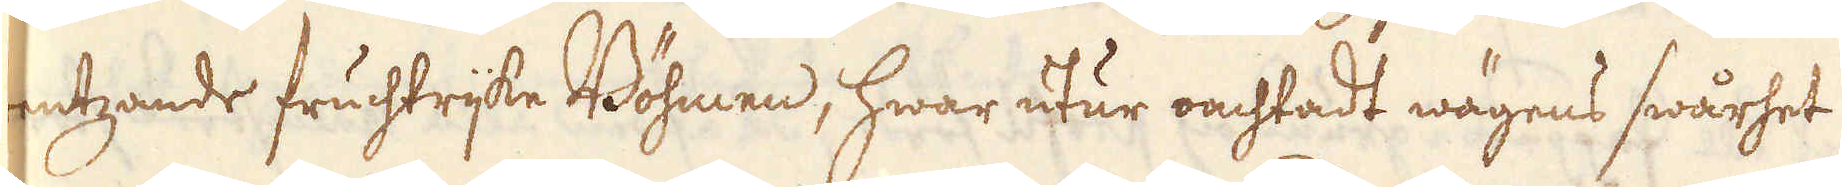gräntzande fruchtrijke Böhmen, hwar utur oachtadt wägens swårhet
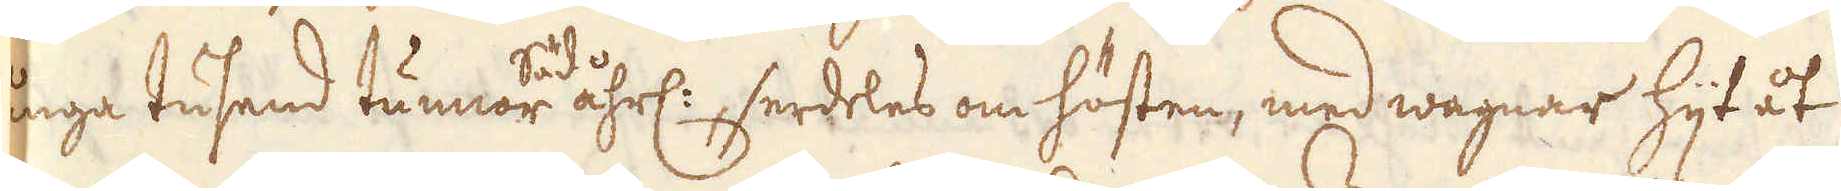många tusend tunnor Säd åhrl:, serdeles om hösten, med wagnar hijt åt
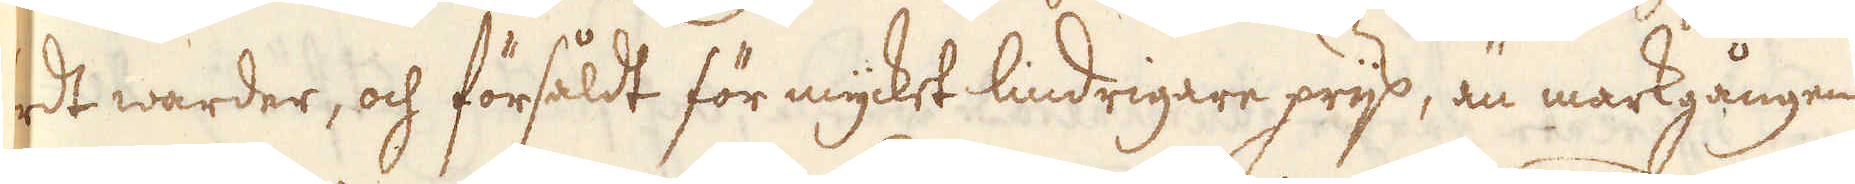fördt warder, och försåldt för mycket lindrigare prijs, än markgången
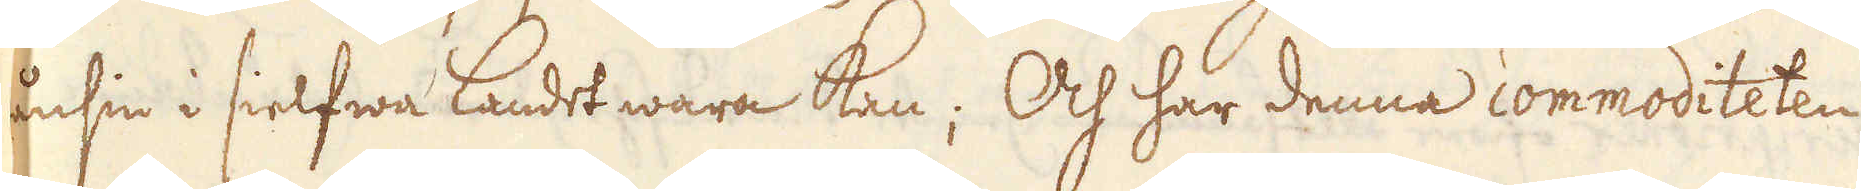nånsin i sielfwa Landet wara kan; Och har denna commoditeten
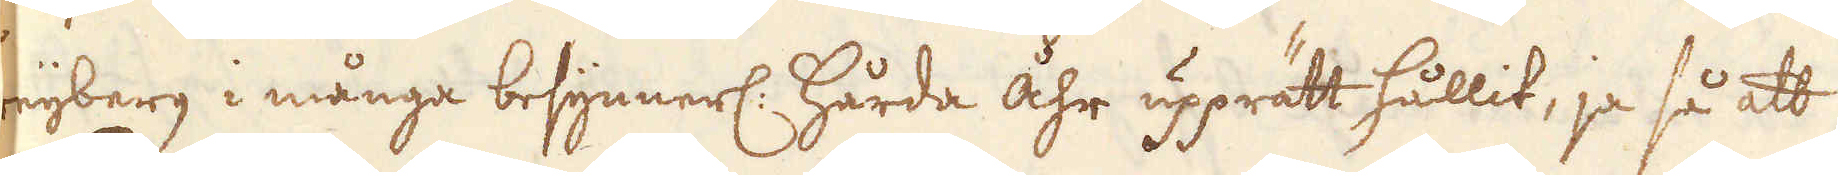Freijberg i många besynnerl: hårda åhr upprätt hållit, ja så att
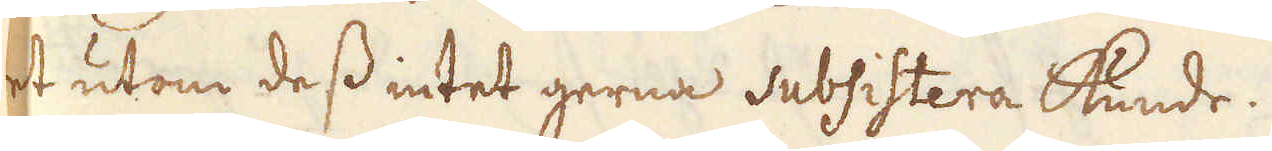det utom dess intet gerna subsistera kunde.
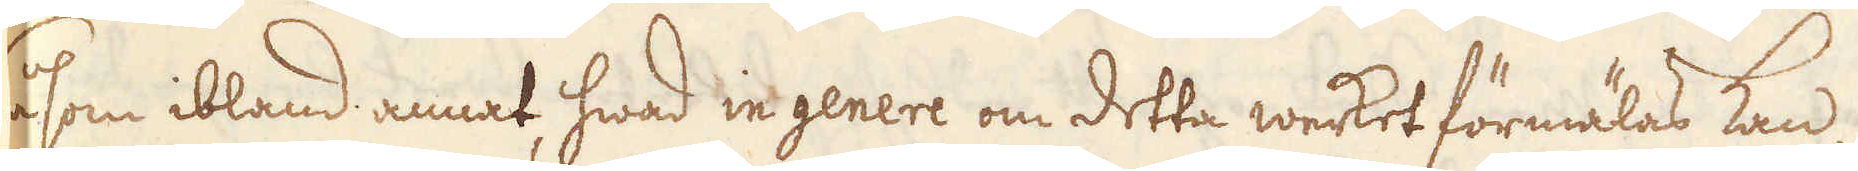Såsom ibland annat hwad in genere om detta werket förmälas kan,
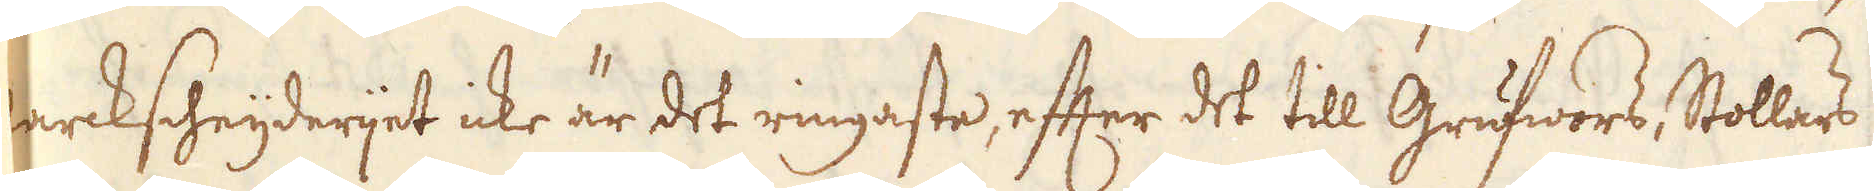Marckscheijderijet icke är det ringaste, efter det till Grufwors, Stollars
